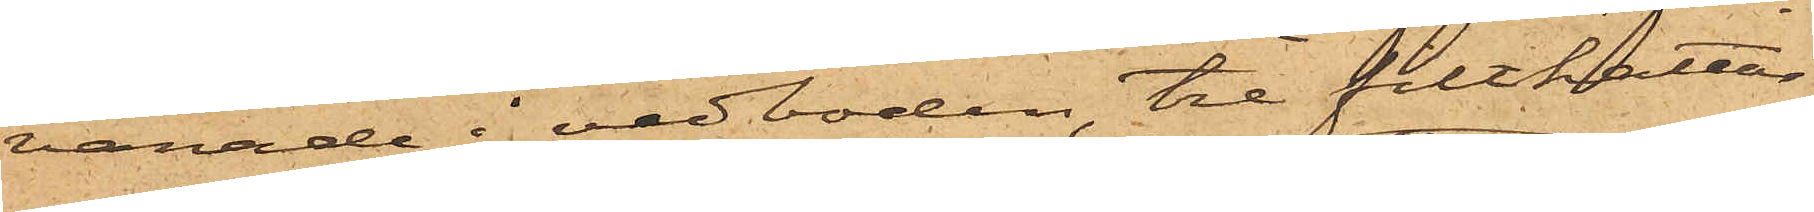varade i vedboden, tre filthattar
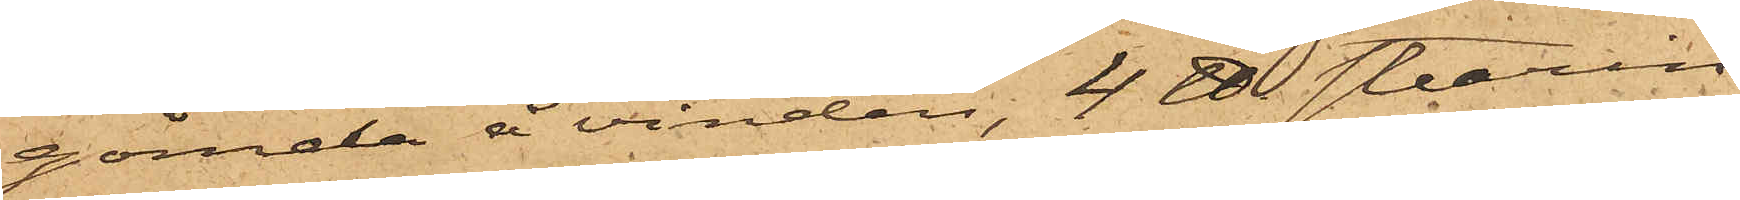gömda å vinden, 4 ℔ stearin¬
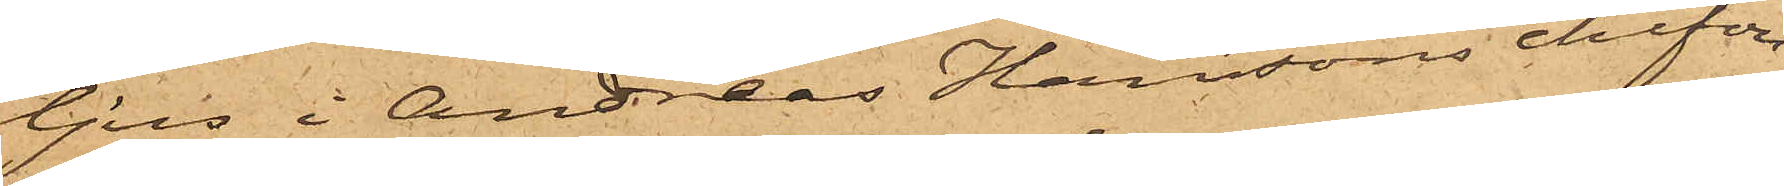ljus i Andreas Hanssons chifon¬
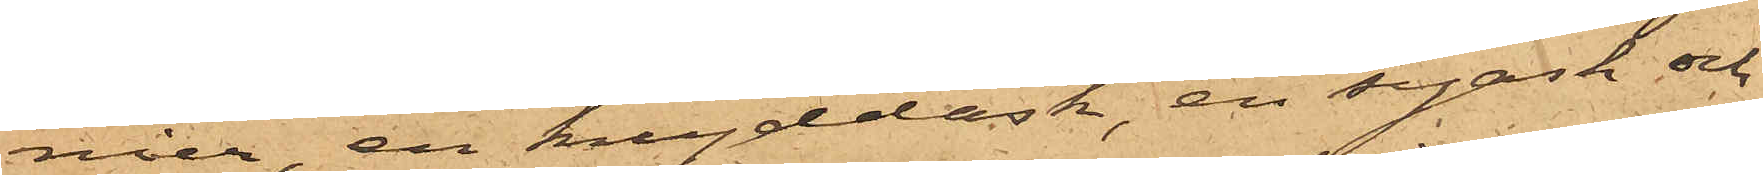nier, en kryddask, en syask och
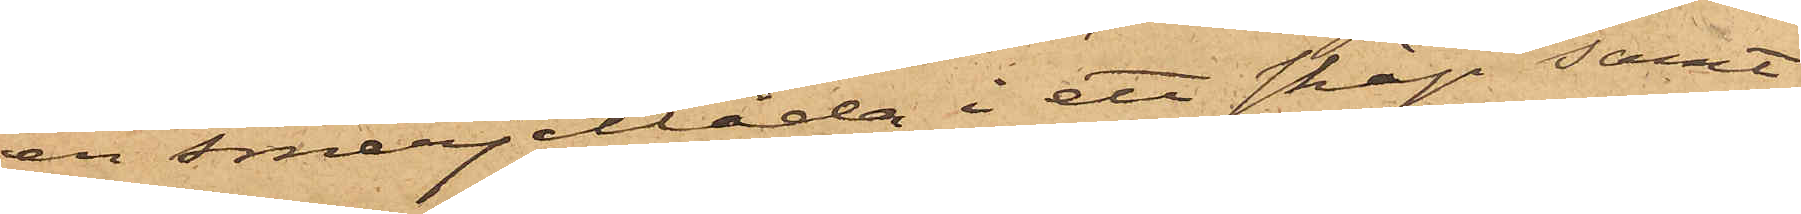en smerjellåda i ett skåp samt
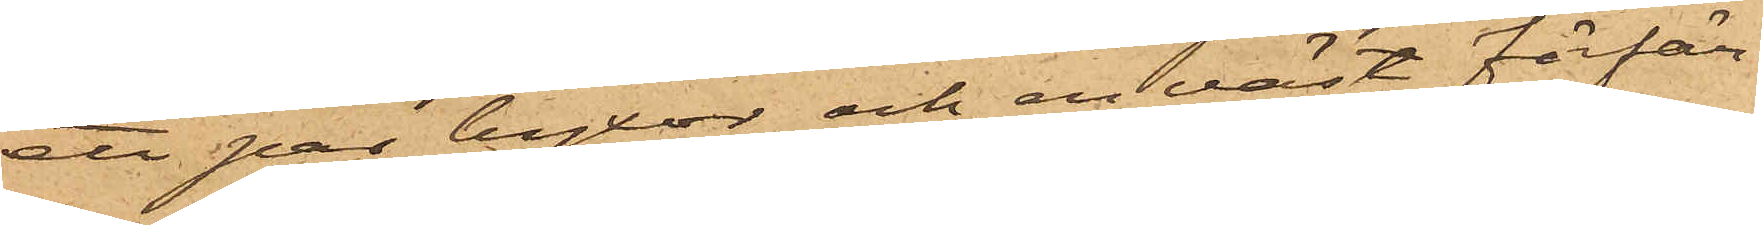ett par byxor och en väst förfär¬
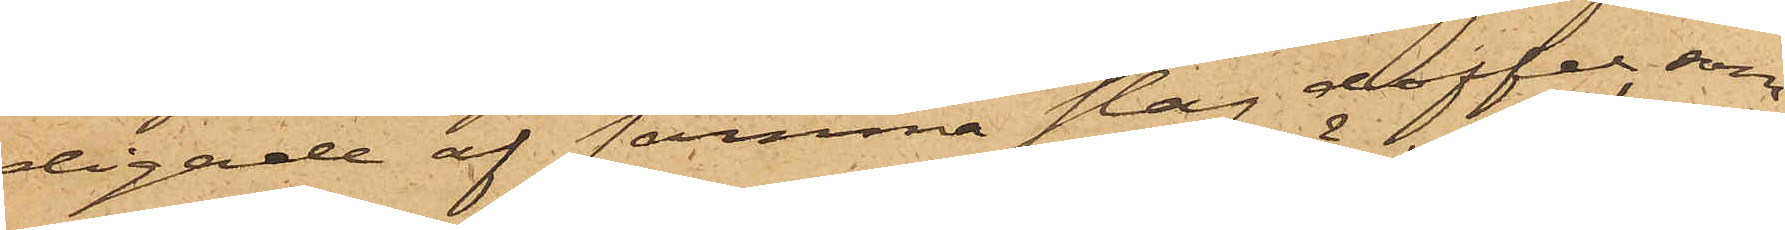digade af samma slag doffel, som
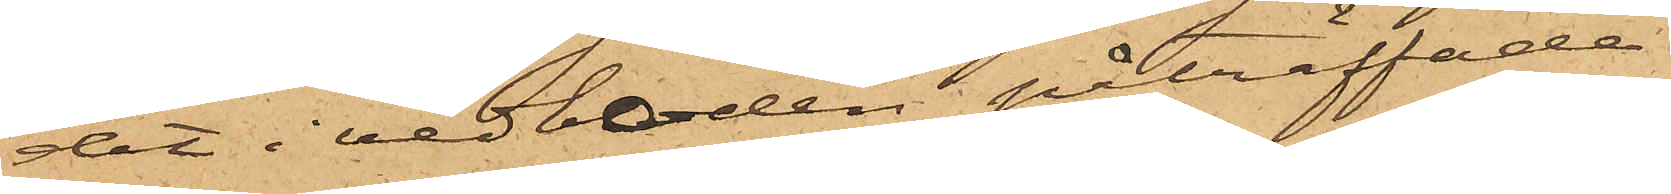det i vedboden påträffade.
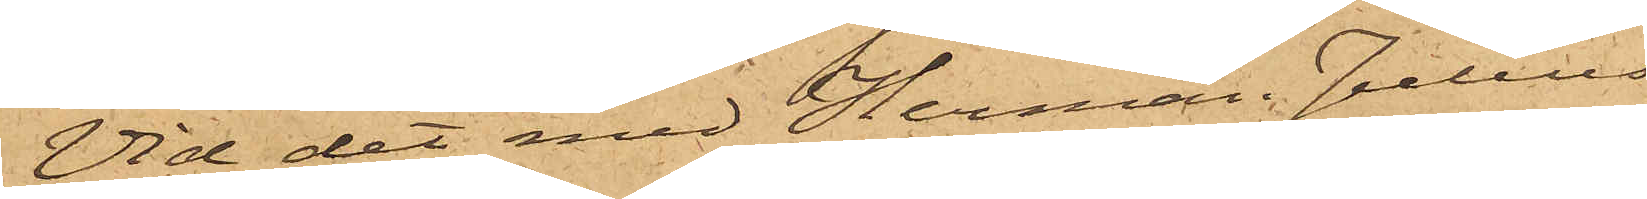Vid det med Herman Julius
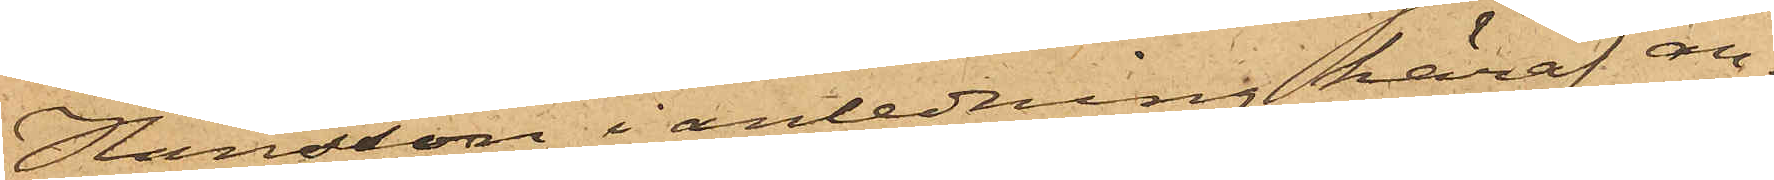Hansson i anledning häraf an¬
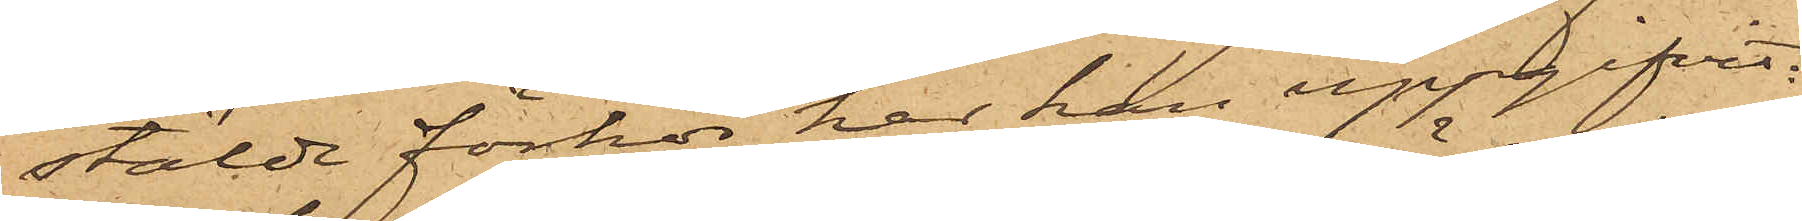stälde förhör har han uppgifvit,
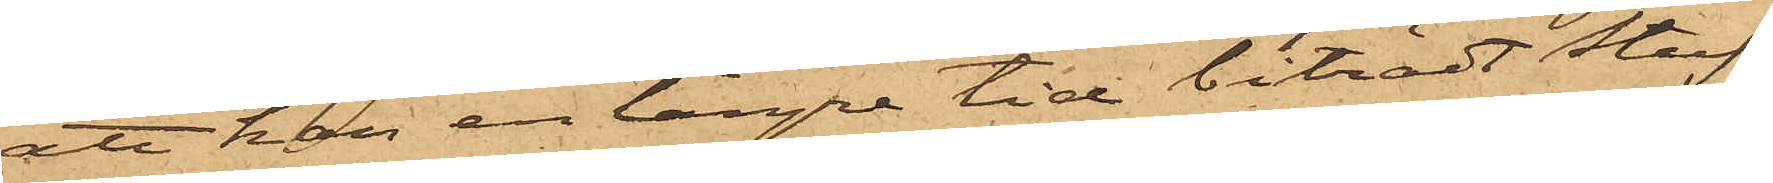att han en längre tid biträdt Stuf¬
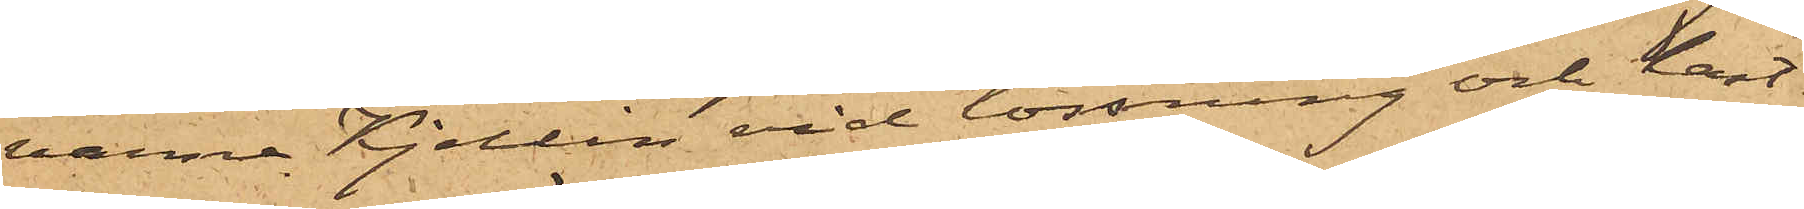varna Kjellin vid lossning och last¬
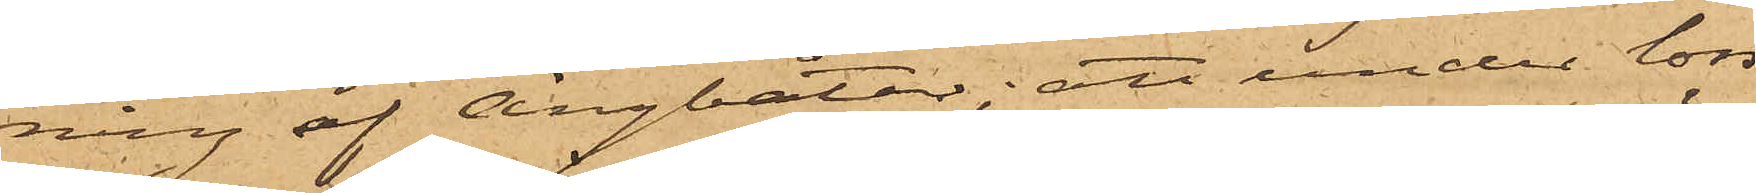ning af Ångbåtar; att under loss¬
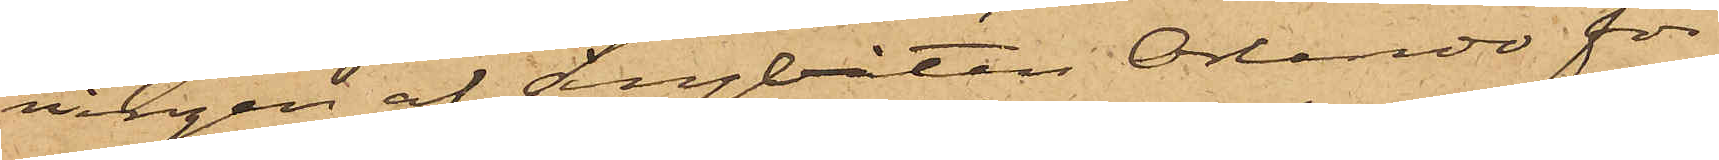ningen af Ångbåten Orlando för
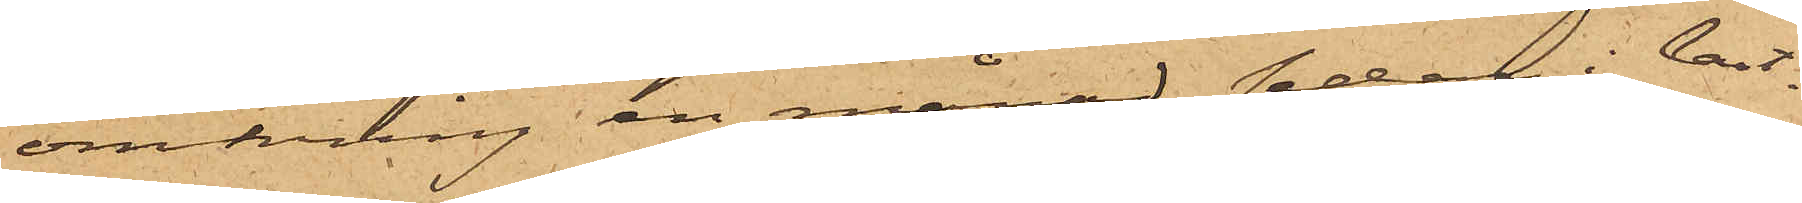omkring en månad sedan i last¬
